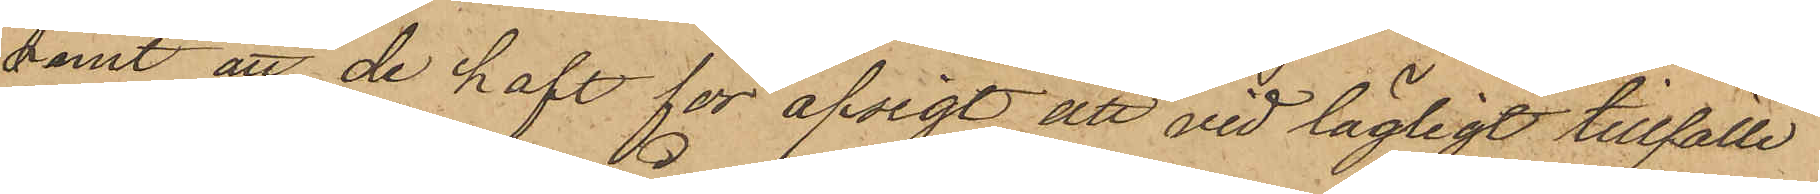samt att de haft för afsigt att vid lägligt tillfälle
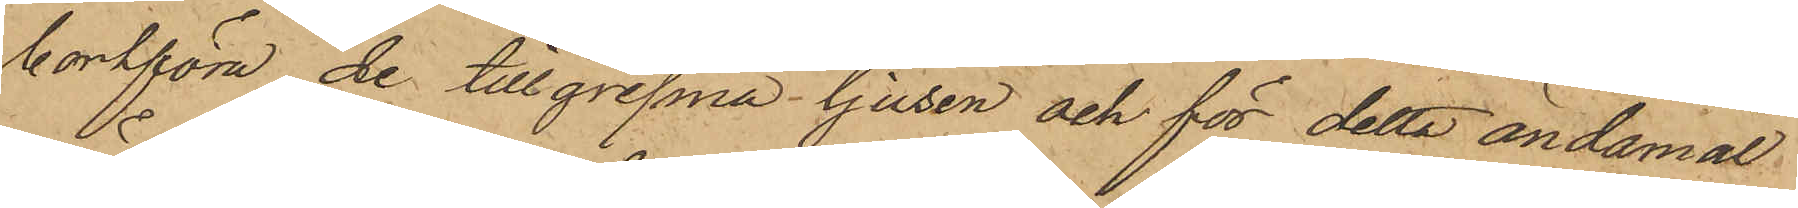bortföra de tillgripna ljusen och för detta ändamål
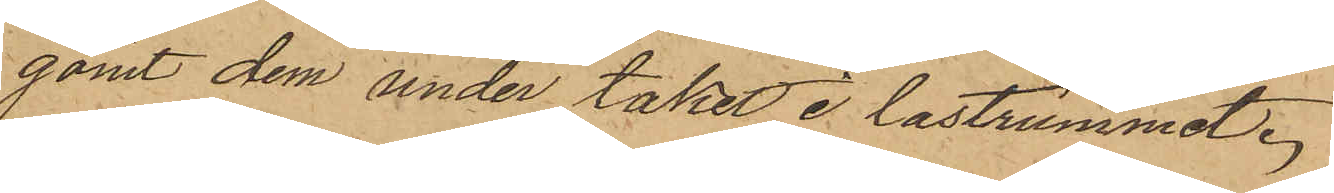gömt dem under taket i lastrummet.
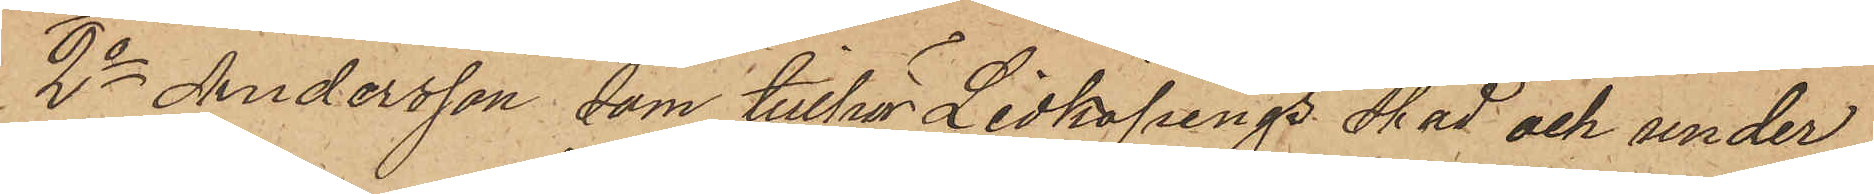2o Andersson, som tillhör Lidköpings stad och under
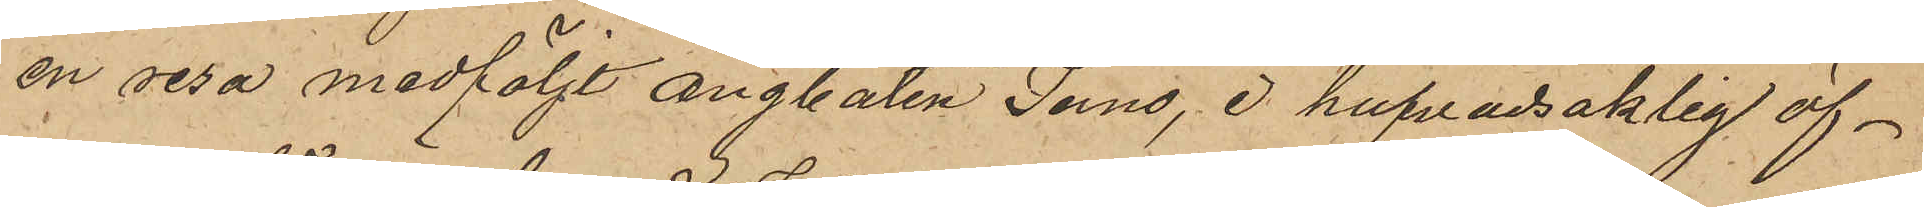en resa medföljt ångbåten Juno, i hufvudsaklig öf¬
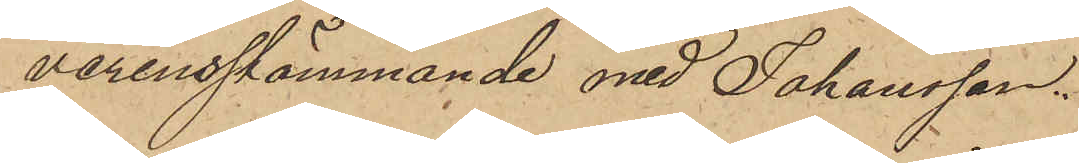verensstämmande med Johansson.
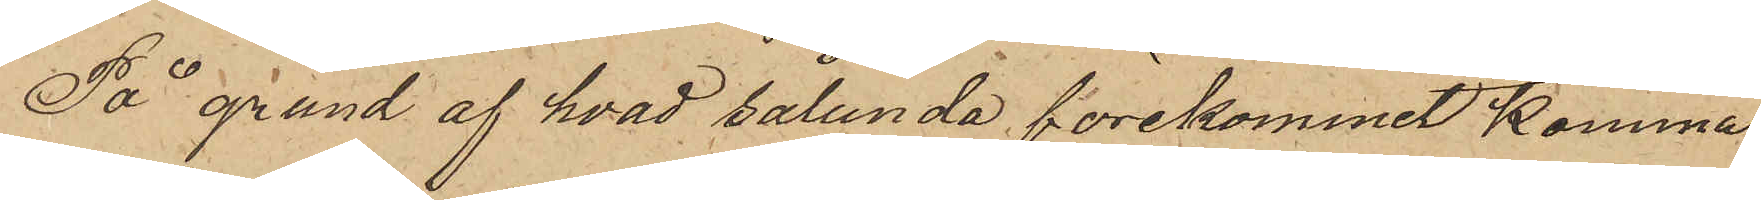På grund af hvad sålunda förekommit komma
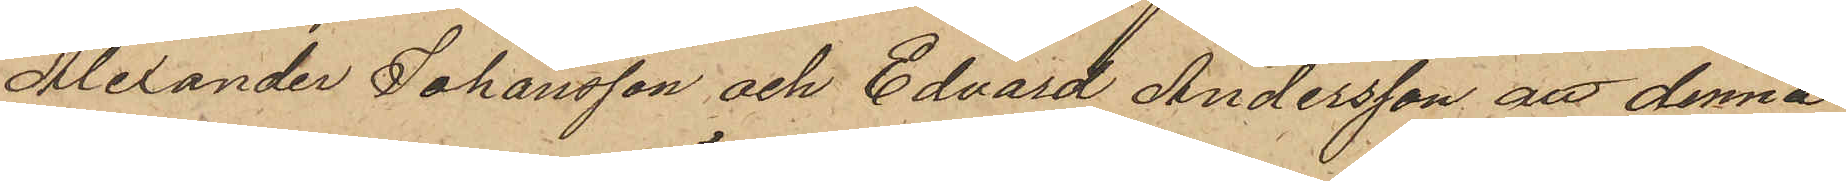Alexander Johansson och Edvard Andersson att denna
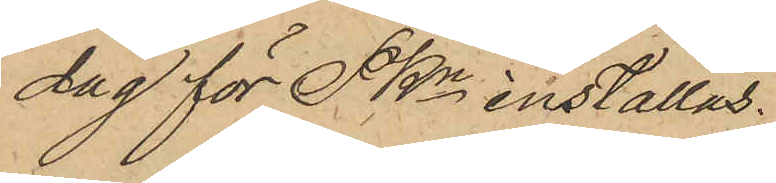dag för PKn inställas.
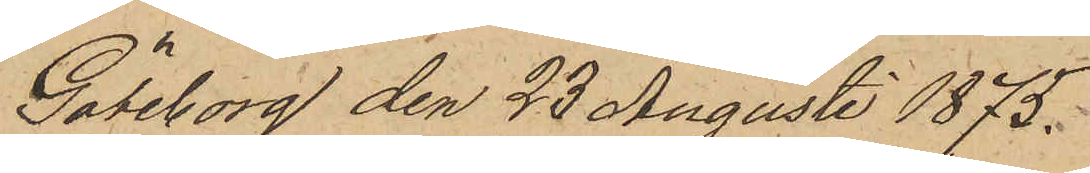Göteborg den 23 Augusti 1875.
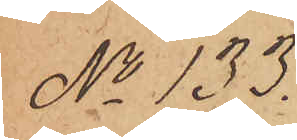No 133.
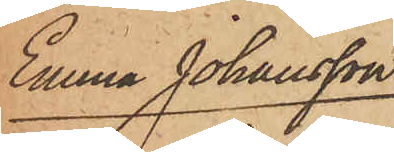Emma Johansson
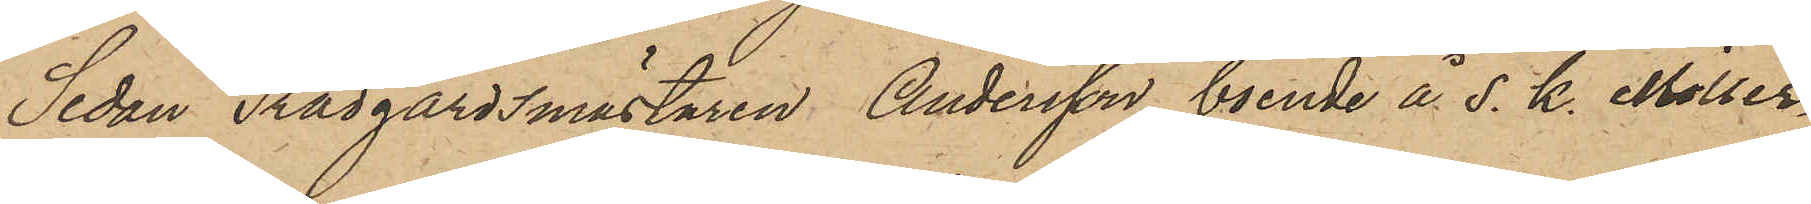Sedan Trädgårdsmästaren Andersson, boende å s. k. Möller¬
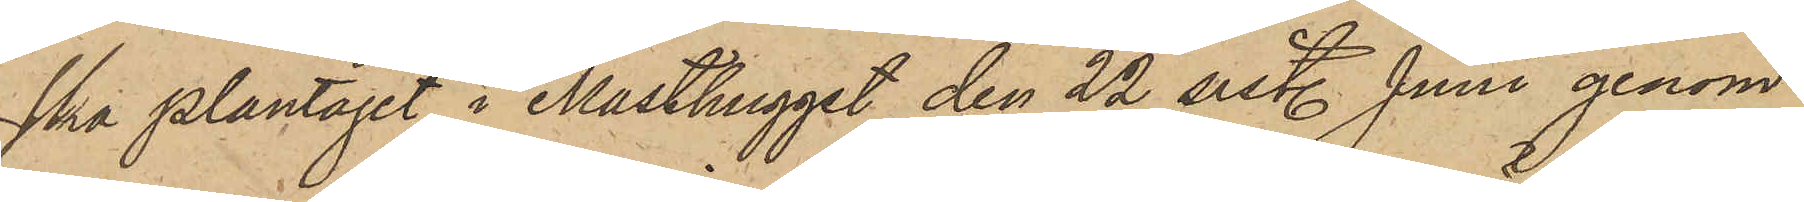ska plantaget i Masthugget den 22 sistl. Juni genom
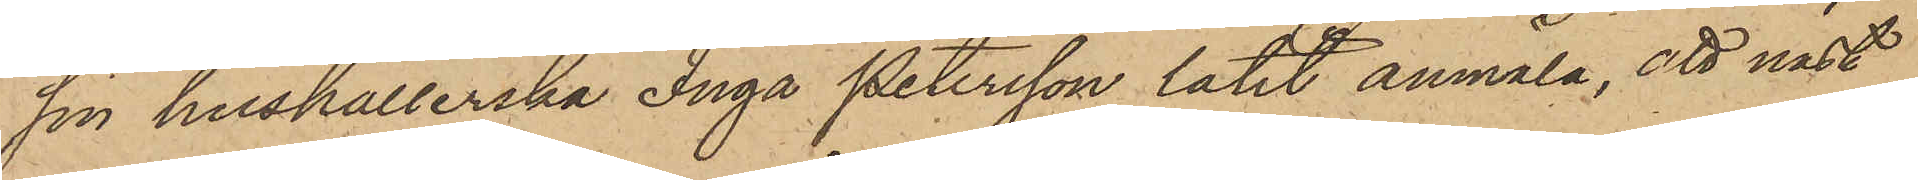sin hushållerska Inga Petersson låtit anmäla, att näst¬
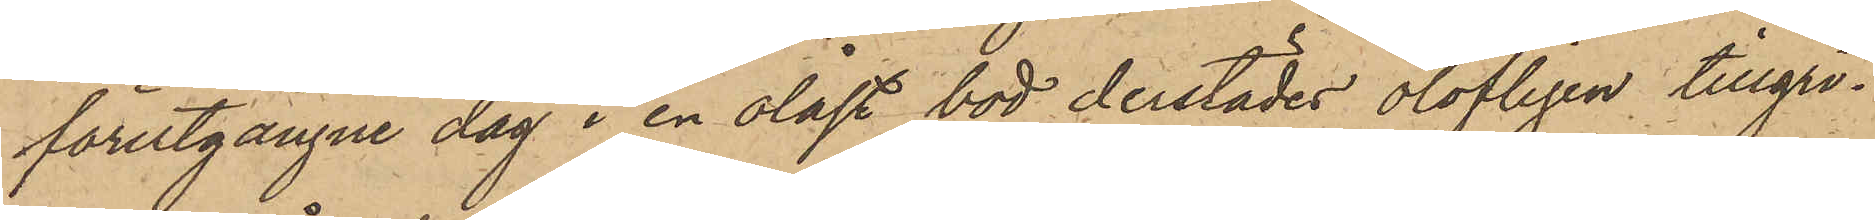förutgångne dag i en olåst bod derstädes olofligen tillgri¬
